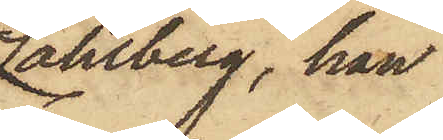Sahlberg, han
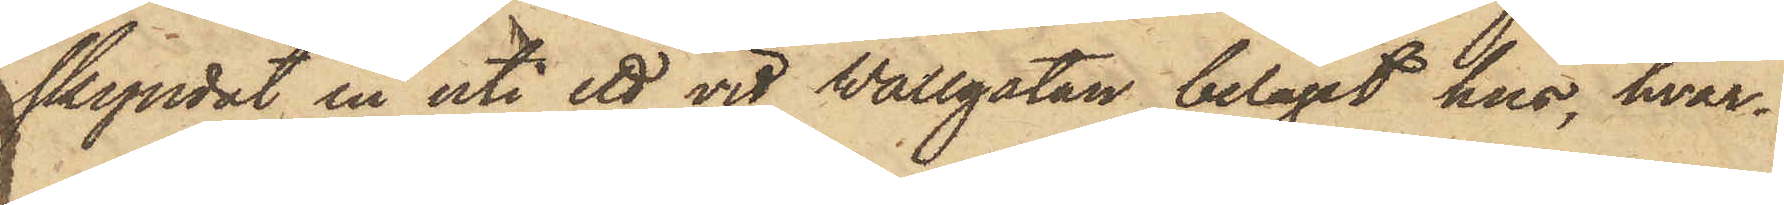skyndat in uti ett vid Wallgatan beläget hus, hvar¬
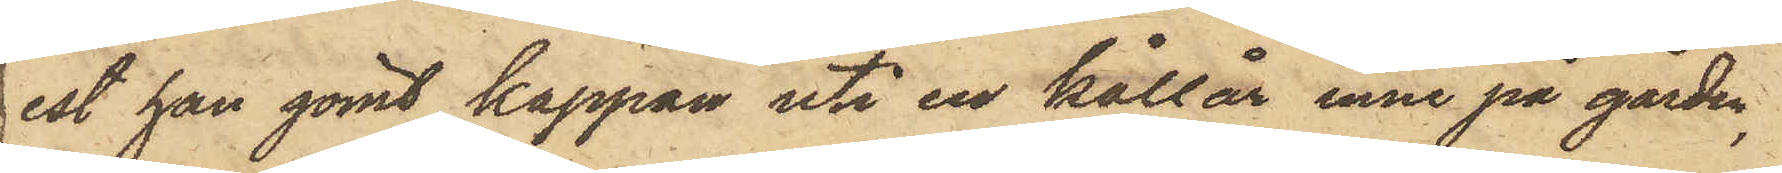est han gömt kappan uti en kållår inne på gården,
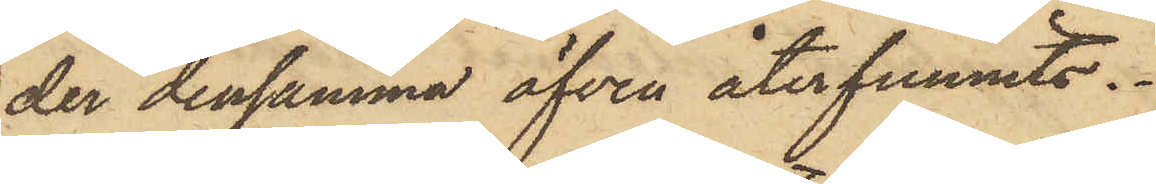der densamma äfven återfunnits.
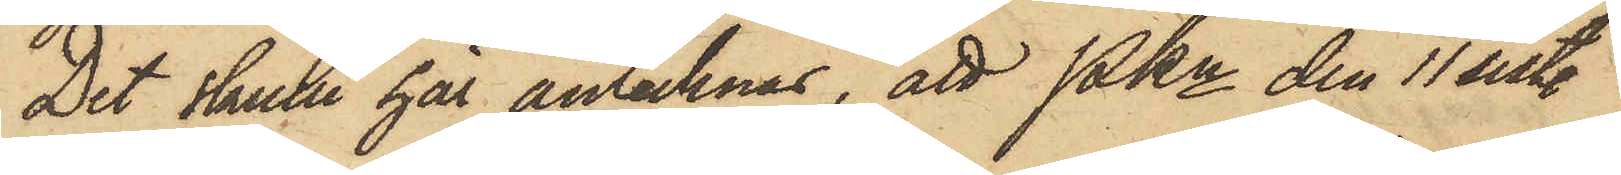Det skulle här antecknas, att Pkn den 11 sistl.
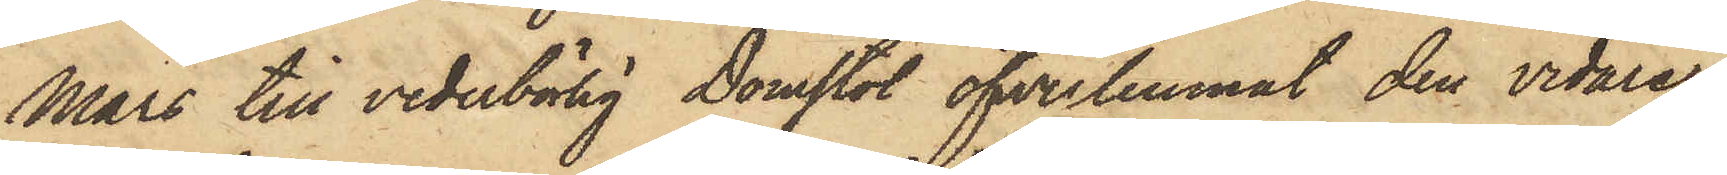Mars till vederbörlig Domstol öfverlemnat den vidare
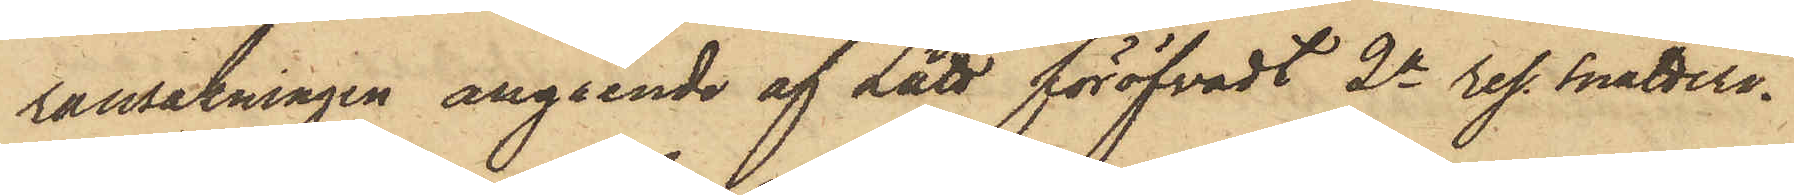ransakningen angående af Lätt föröfvadt 2a res. snatteri.
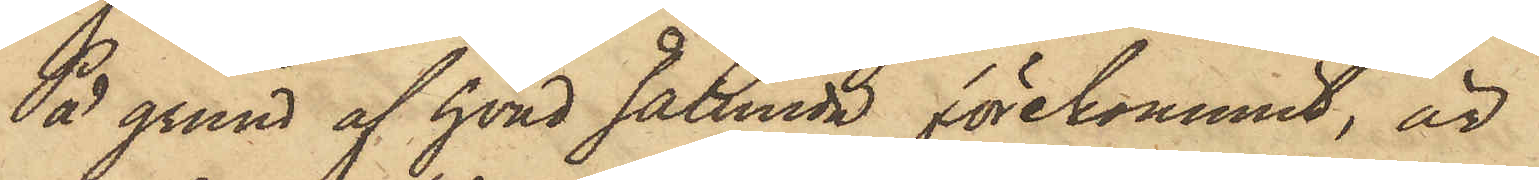På grund af hvad sålunda förekommit, är
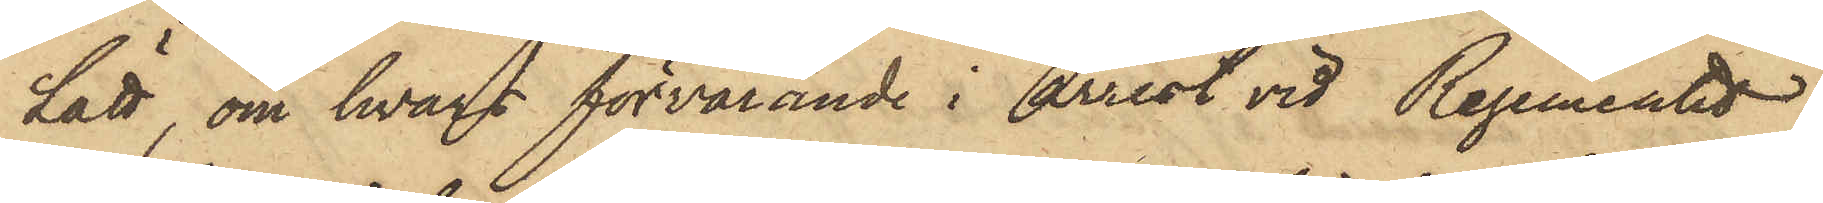Lätt, om hvars förvarande i Arrest vid Regementet
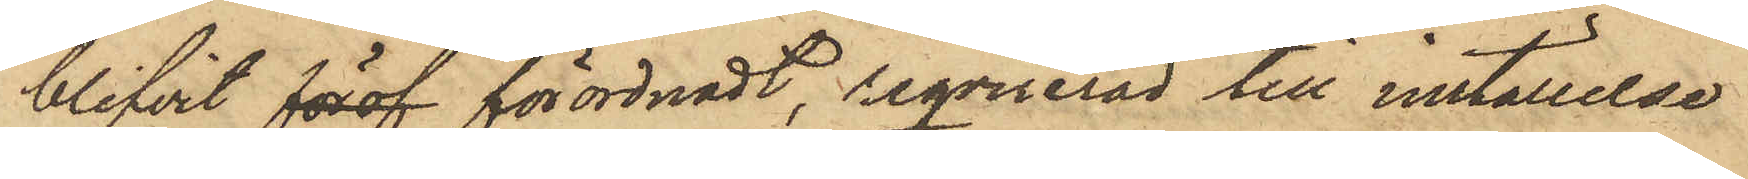blifvit föröf förordnadt, reqvirerad till inställelse
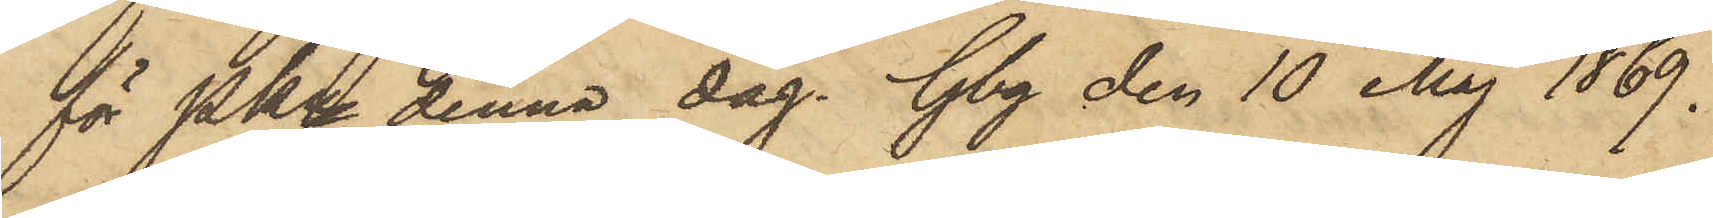för Pkn denna dag. Gbg den 10 Maj 1869.
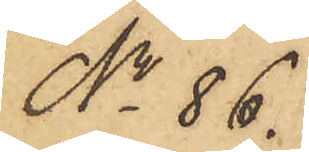No 86.
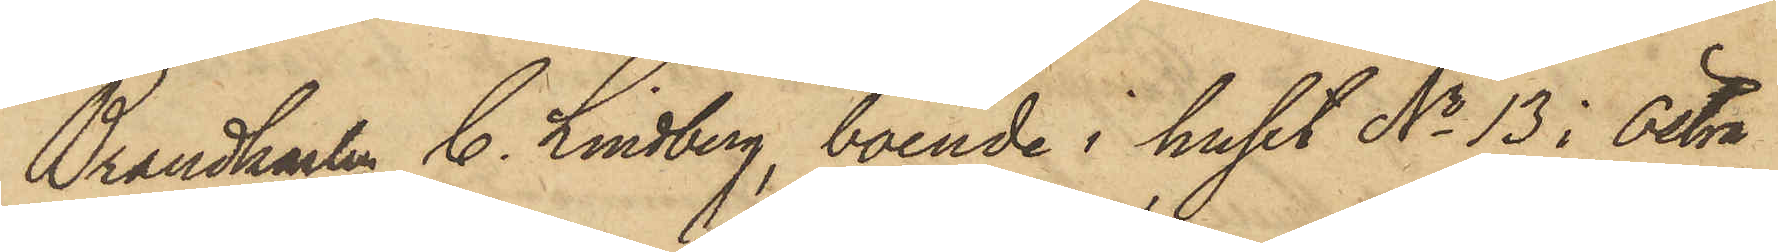Brandkarlen C. Lindberg, boende i huset No 13 i Östra
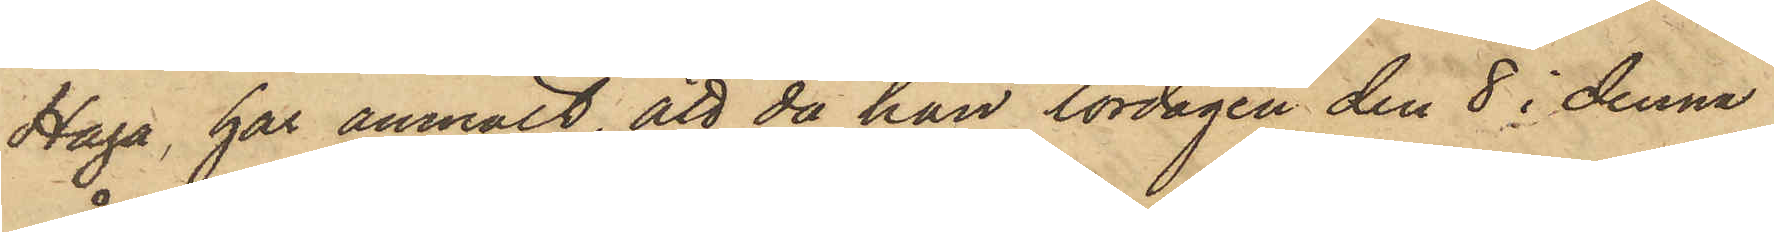Haga, har anmält, att då han lördagen den 8 i denna
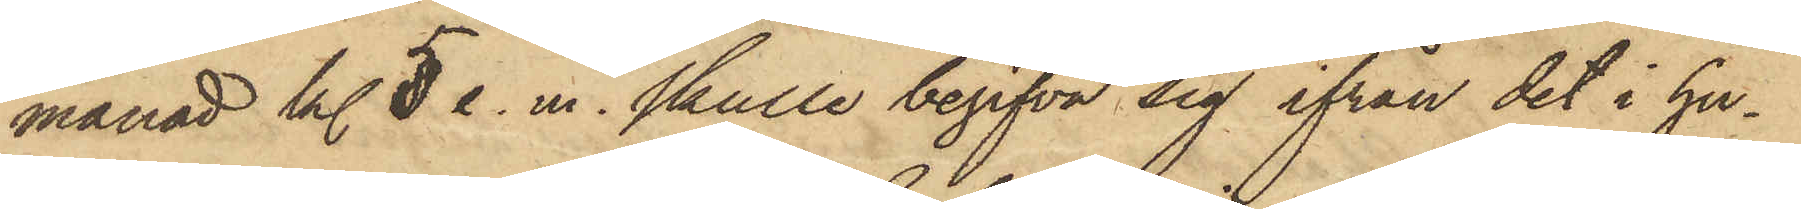månad kl. 5 e. m. skulle begifva sig ifrån det i hu¬
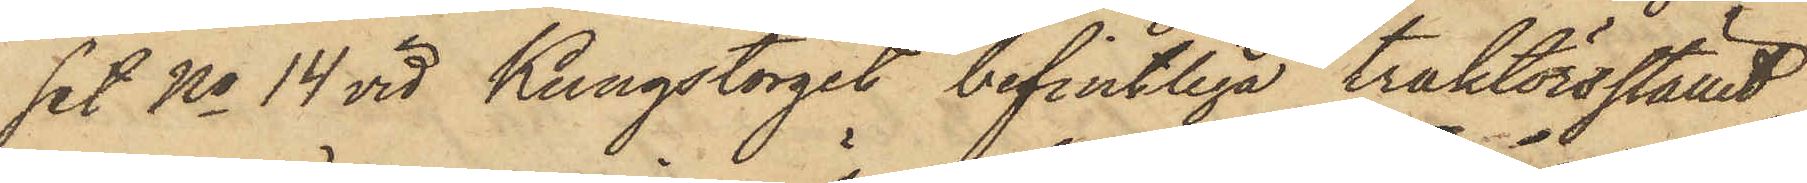set No 14 vid Kungstorget befintliga traktörsstället,
